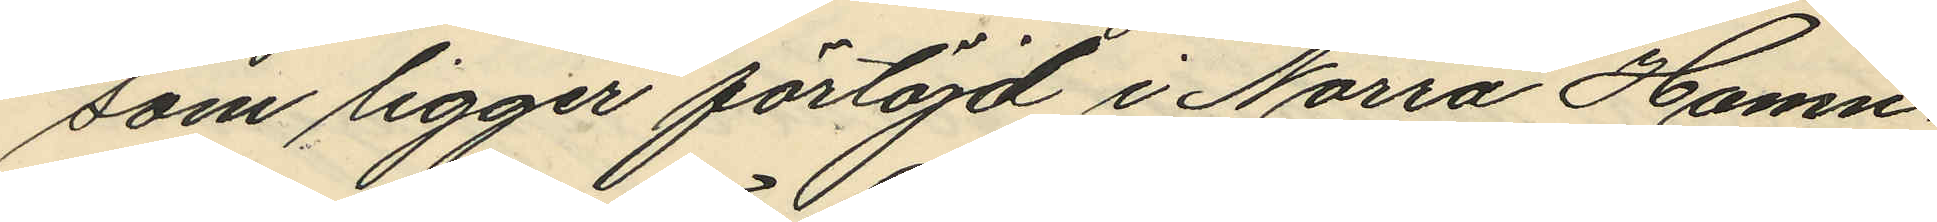som ligger förtöjd i Norra Hamn¬
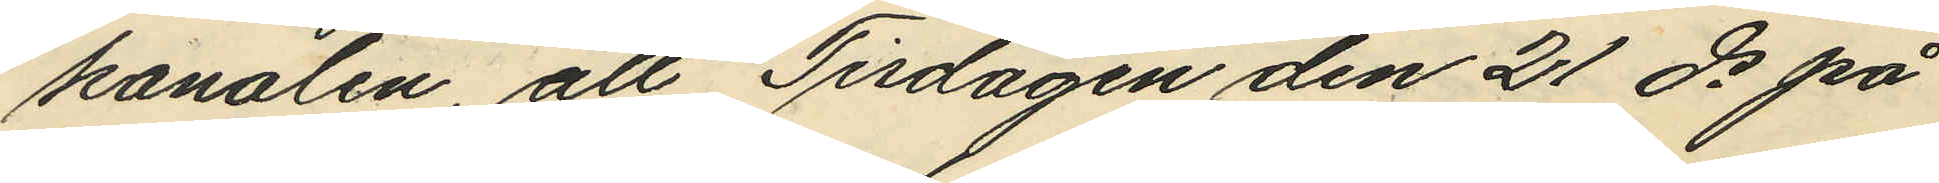kanalen, att Tisdagen den 21 ds på
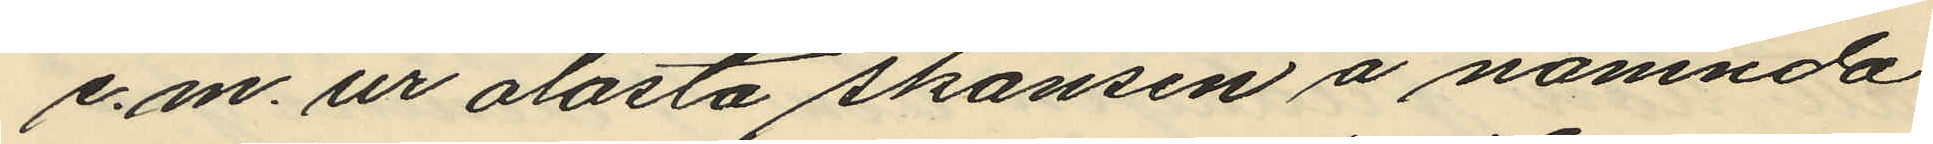e.m. ur olåsta skansen å nämnda
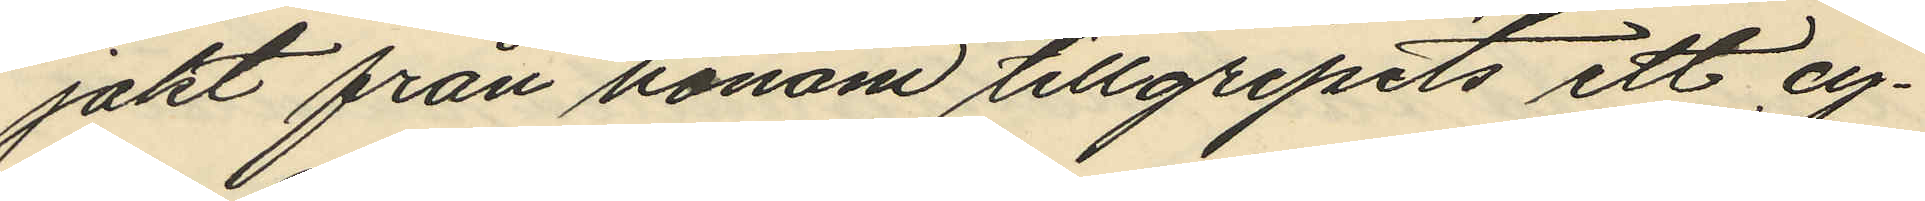jakt från honom tillgripits ett cy¬
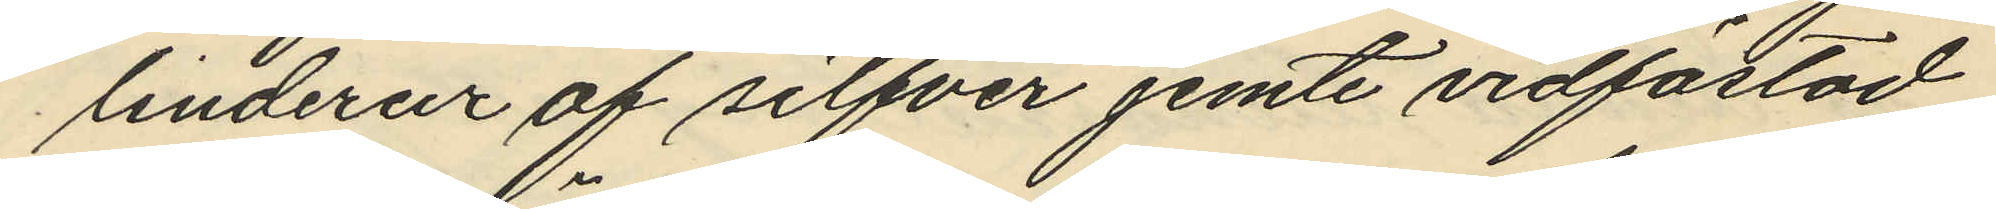linderur af silfver jemte vidfästad
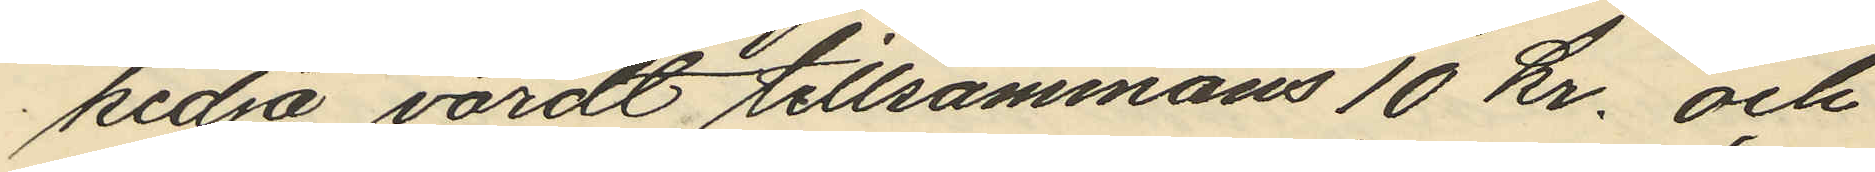kedja, värdt tillsammans 10 kr. och
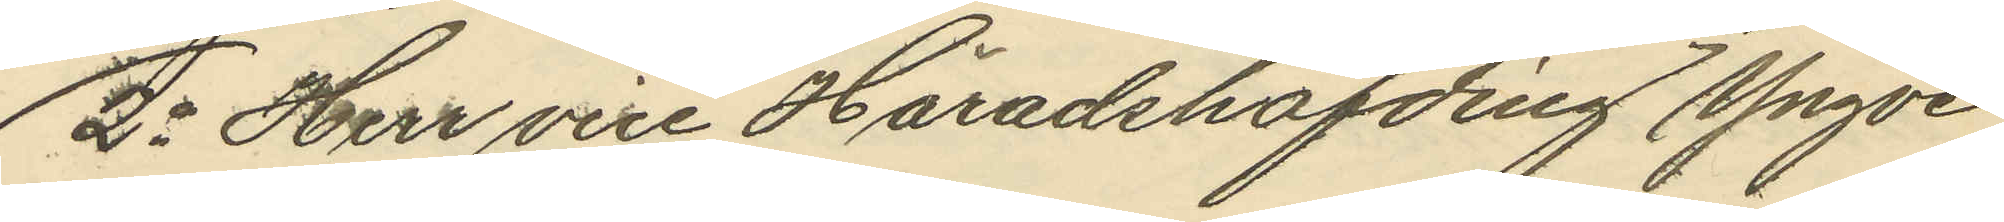2o Herr vice Häradshöfding Yngve
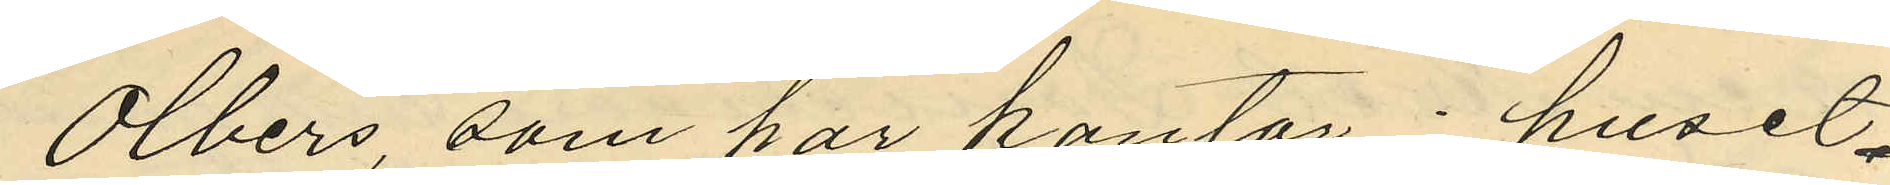Olbers, som har kontor i huset
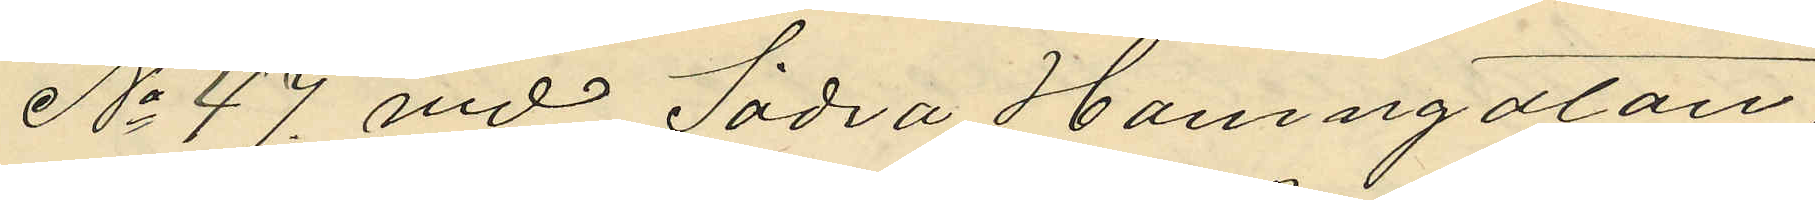No 47 vid Södra Hamngatan,
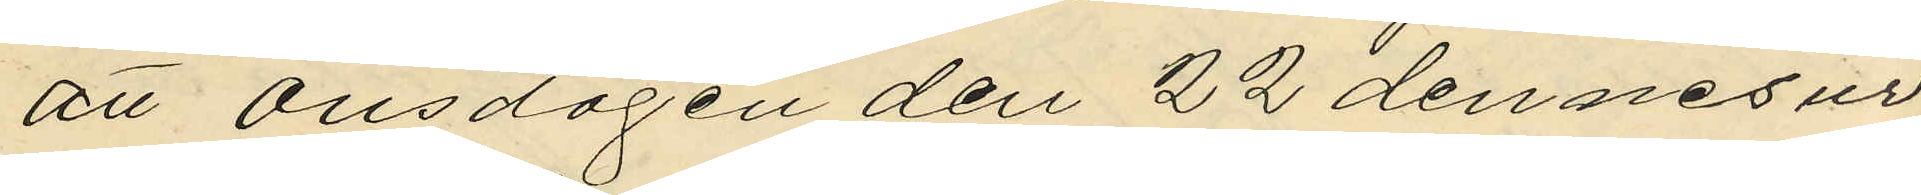att Onsdagen den 22 dennes ur
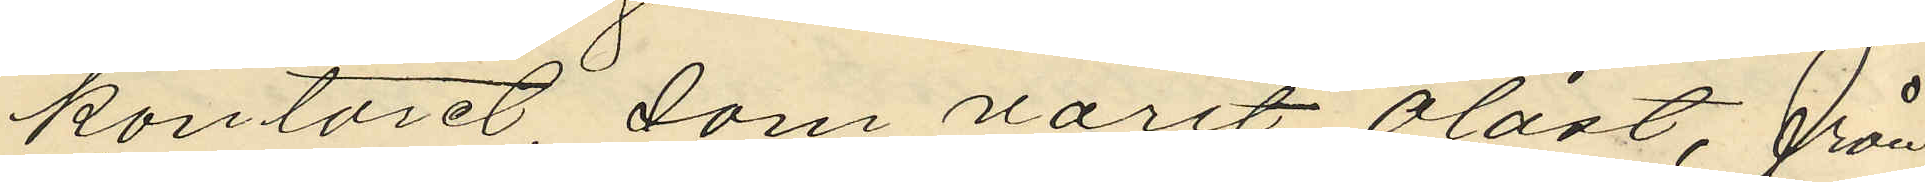kontoret, som varit olåst, från
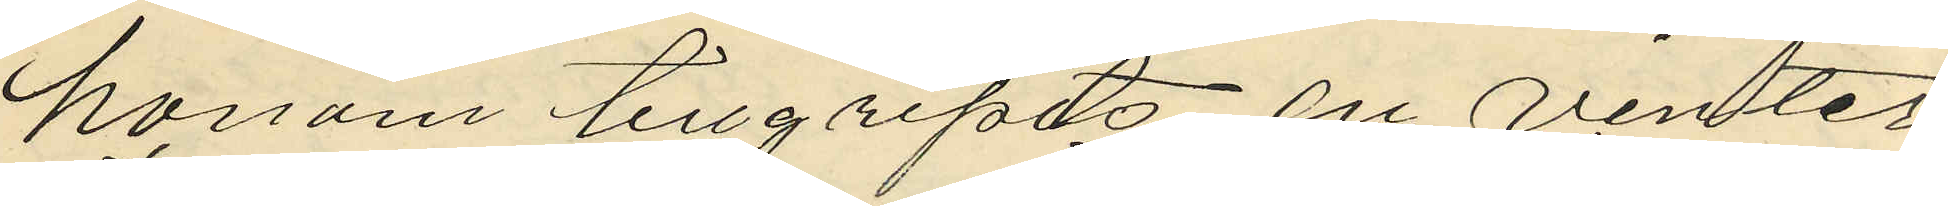honom tillgripits en vinter
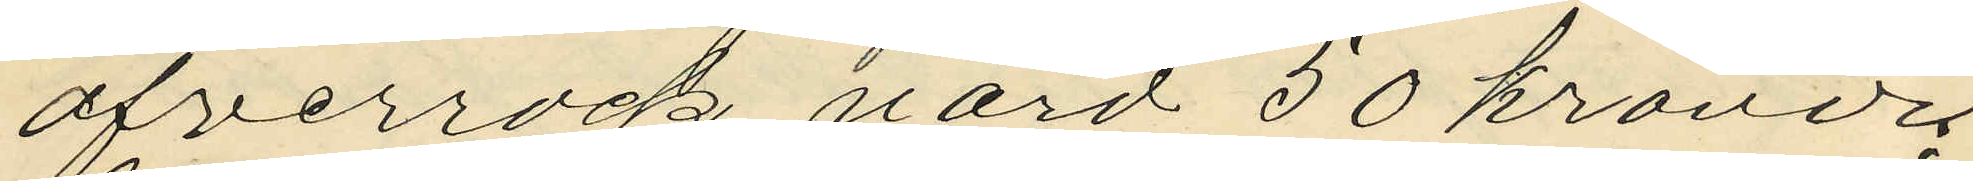öfverrock, värd 50 kronor;
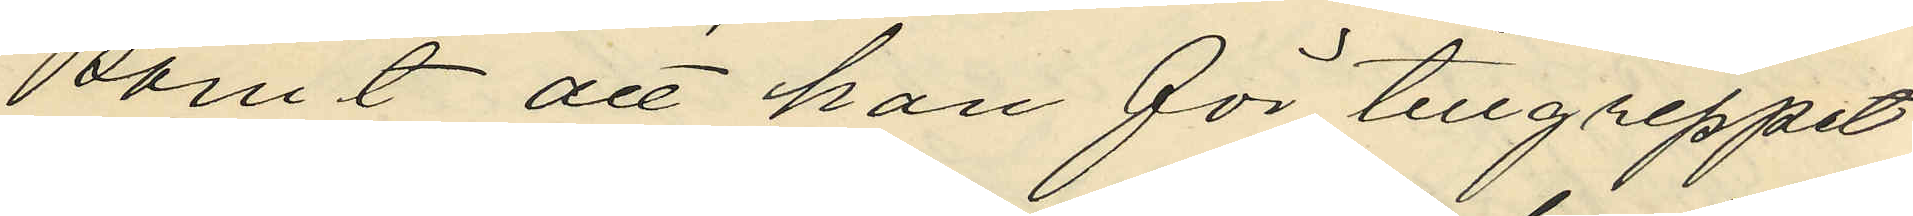samt att han för tillgreppet
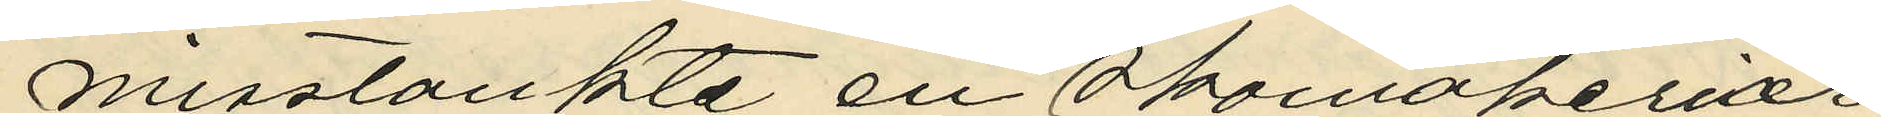misstänkte en Skomakeriar
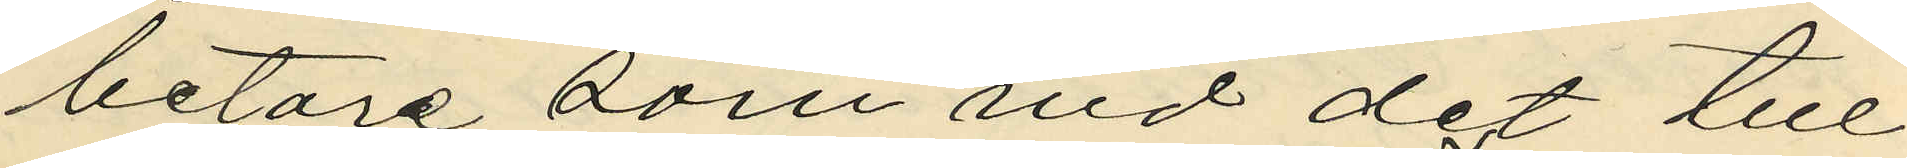betare som vid det till
